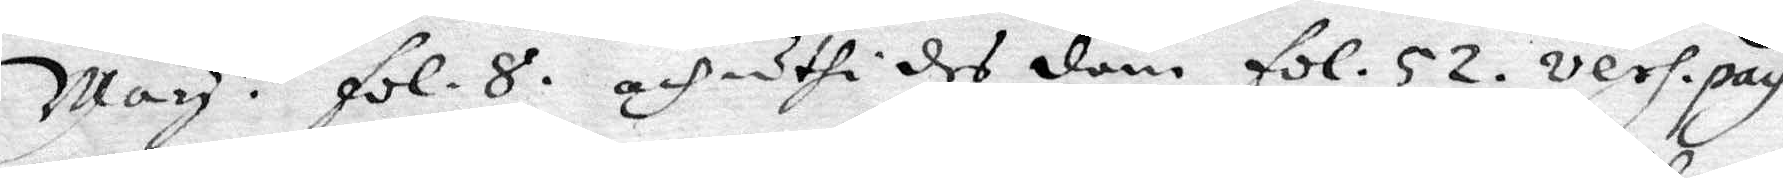May.t. fol.8. och uthi des dem fol. 52. vers. pag.
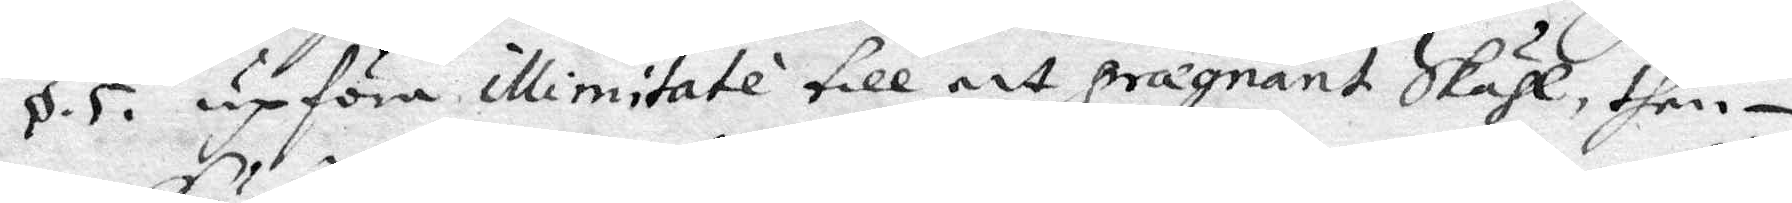o.5. upföra illimitate till att pragnant Skähl, then¬
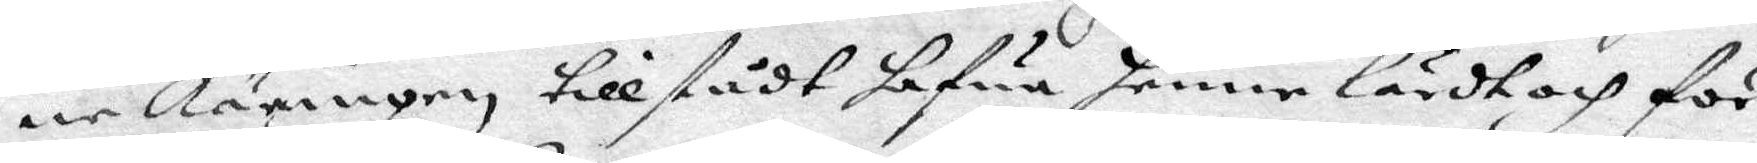ne Käringen tillstådt hafua henne lärdt och för¬
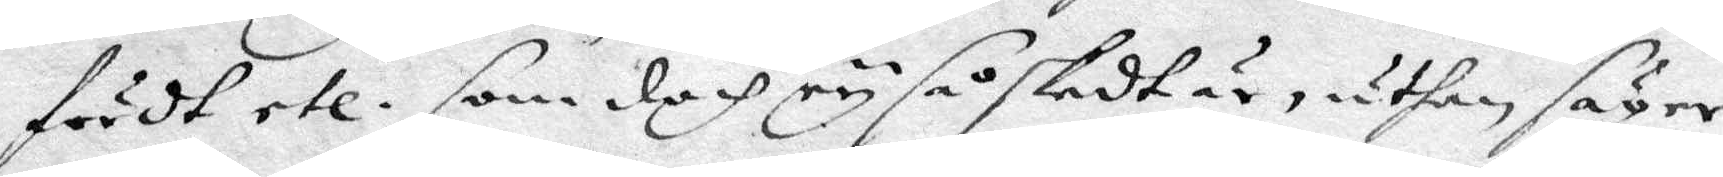fördt etc. som doch ey så skedt är, uthan säger
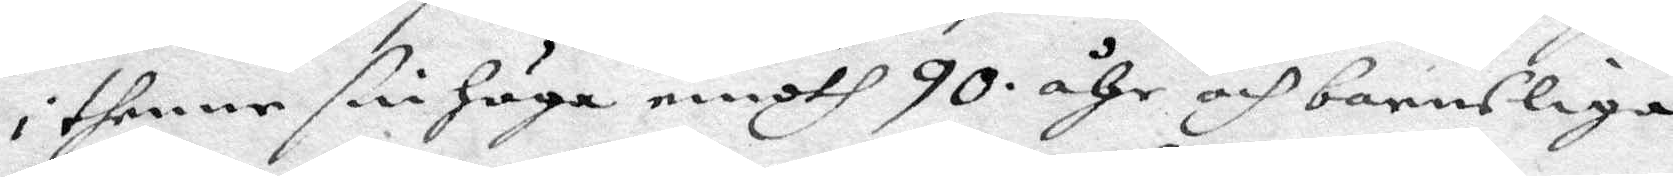i thenne sin höga emodth 90 åhr och bannsliga
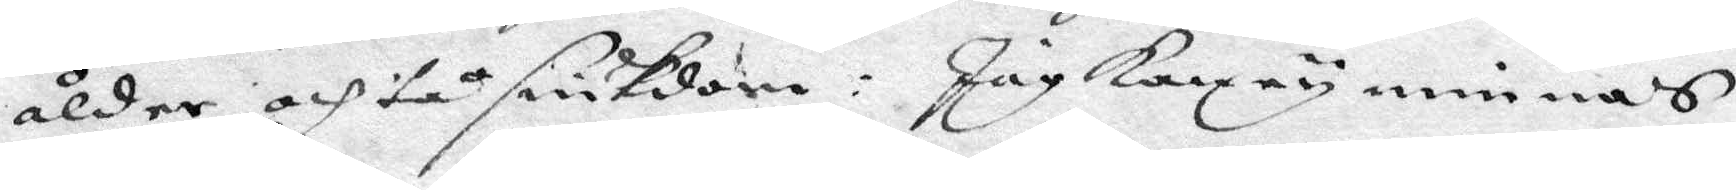ålder och tå siukdom: Jag kan ey minnas
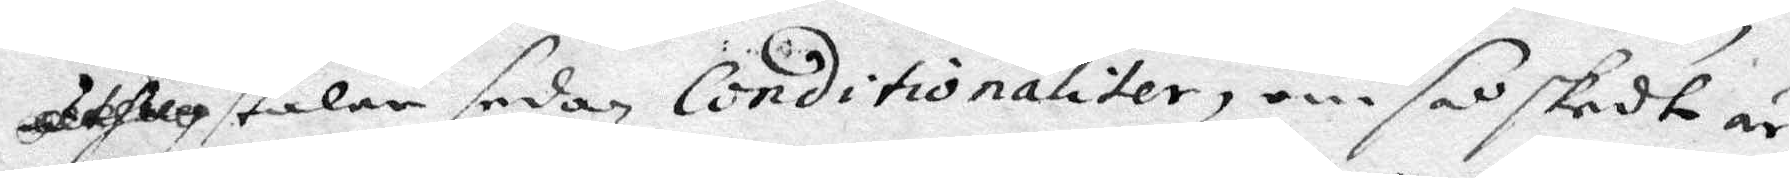och talar sedan Conitionaliter, om så skedte är,
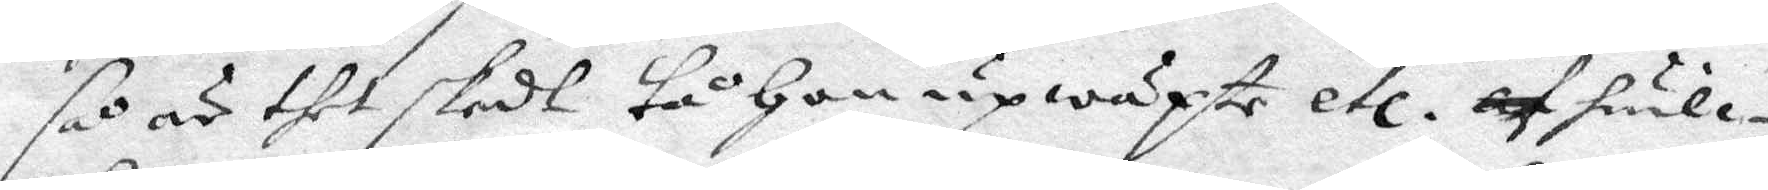så är thet skedt tå hon upwäxte etc. af huil¬
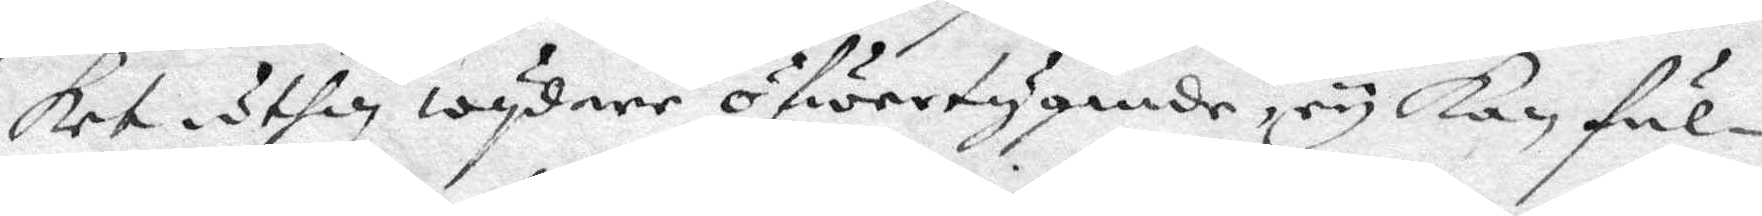ket uthan wydare öfwertygande, ey kan ful¬
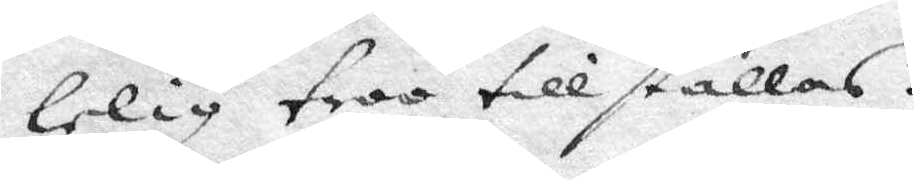lelig troo till ställas.
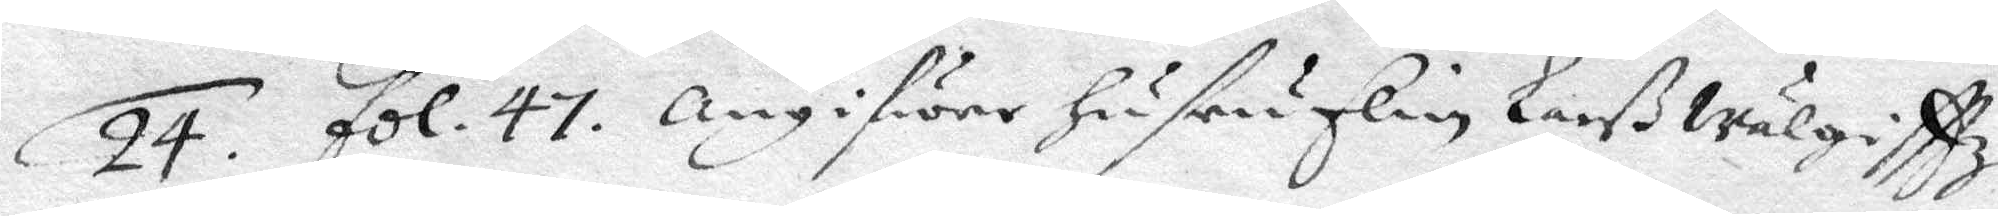24. fol. 47. Angifwer hustru Elin Larß wälgifttz
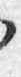en
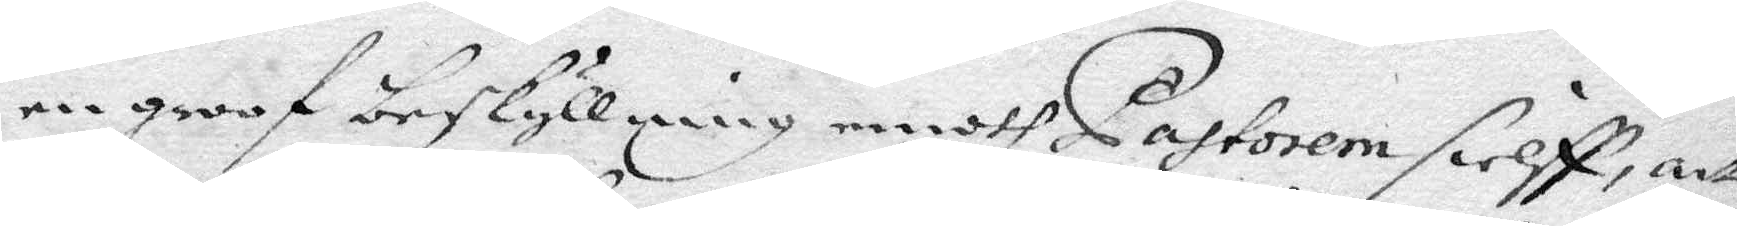en groof beskyllning emoth Pastorem sielff, att
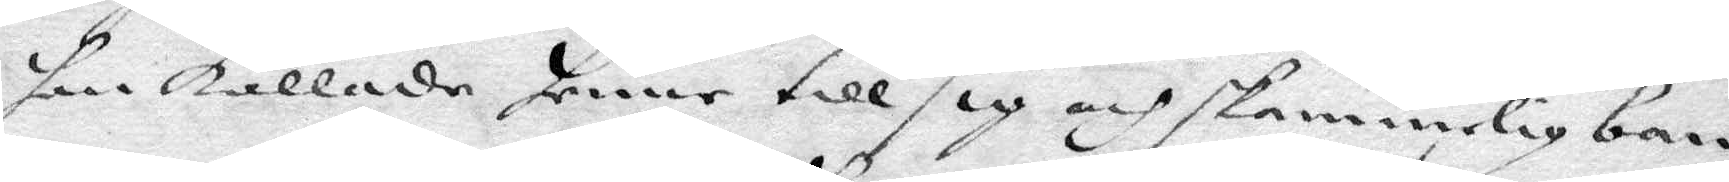han kallade henne till sig och skammelig ban¬
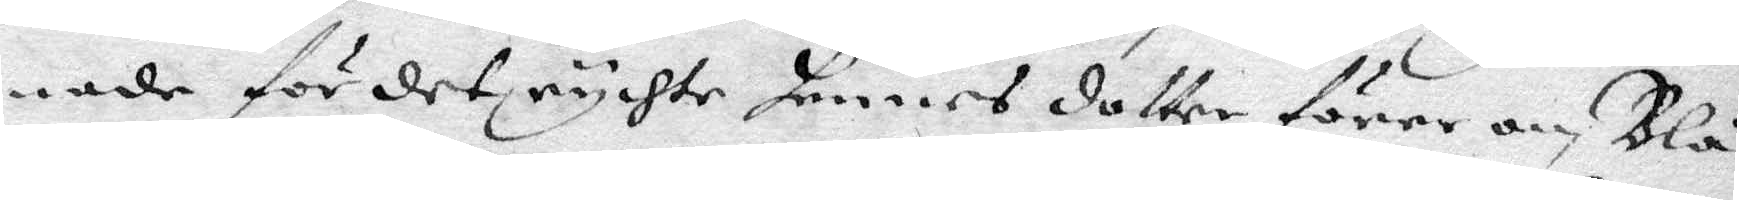nade för det rychte hennes dotter förer om Blå¬
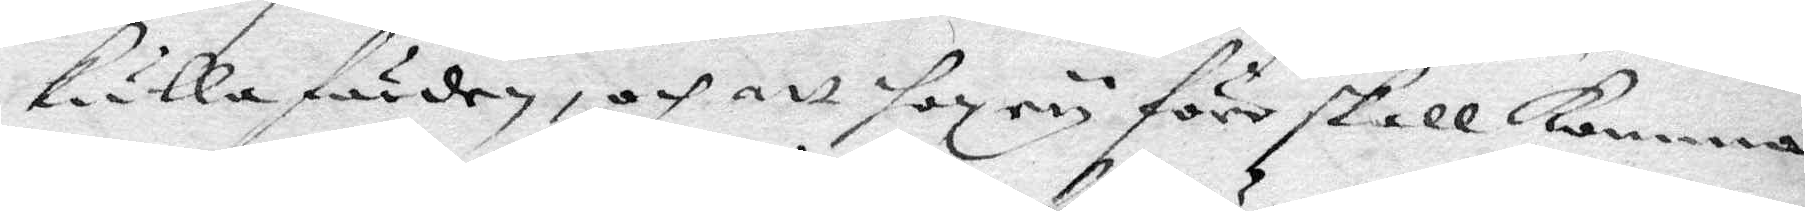kulla färden, och att hon ey förr skall komma
